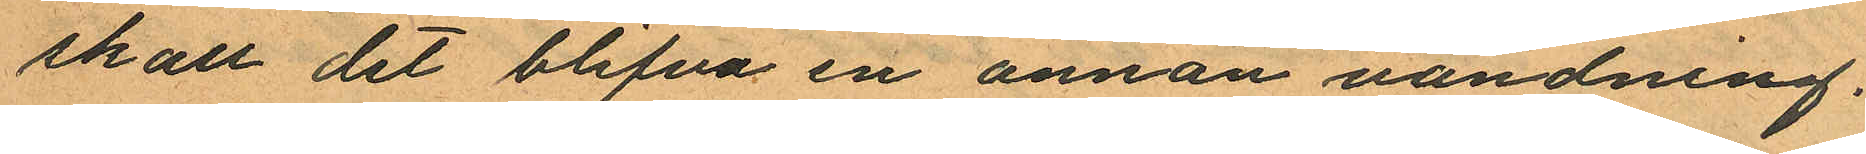skall det blifva en annan vändning.
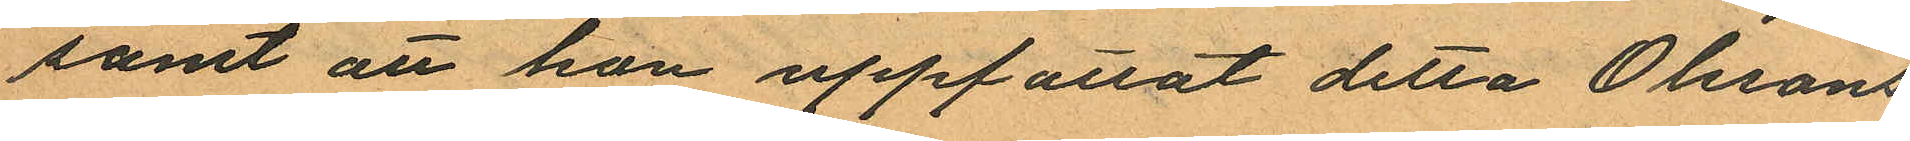samt att hon uppfattat detta Olssons
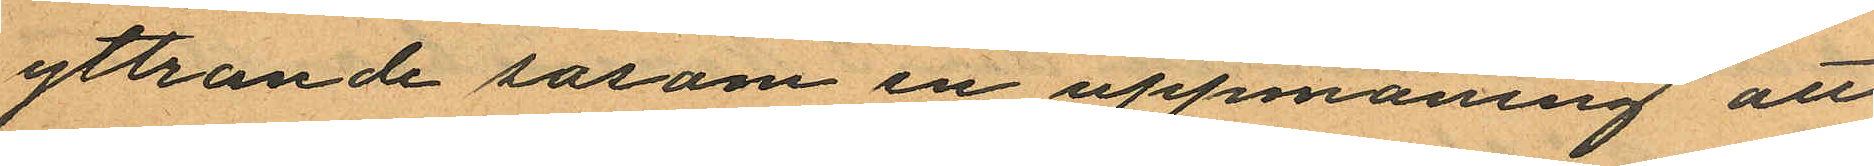yttrande sasom en uppmaning att
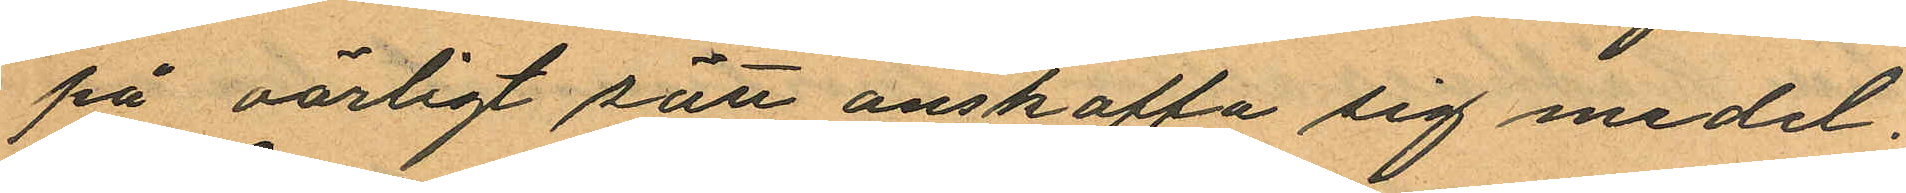på oärligt sätt anskaffa sig medel.
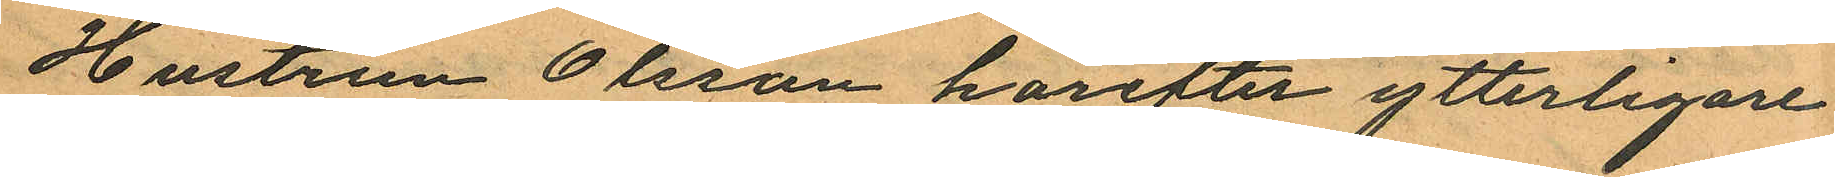Hustrun Olsson härefter ytterligare
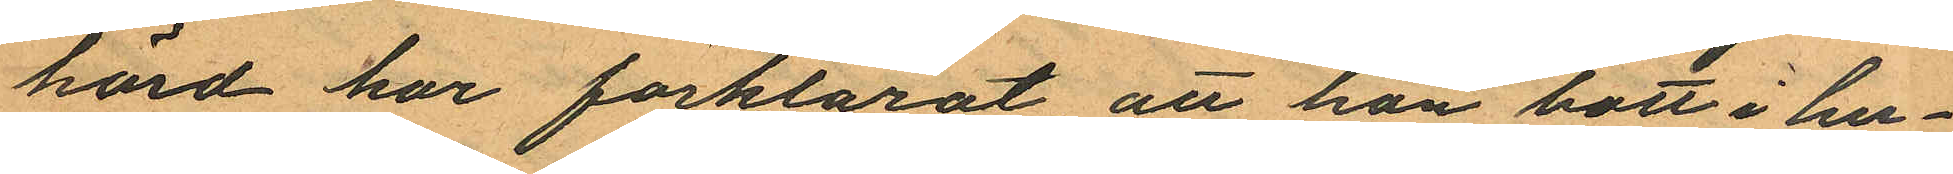hörd har förklarat, att hon bott i hu¬
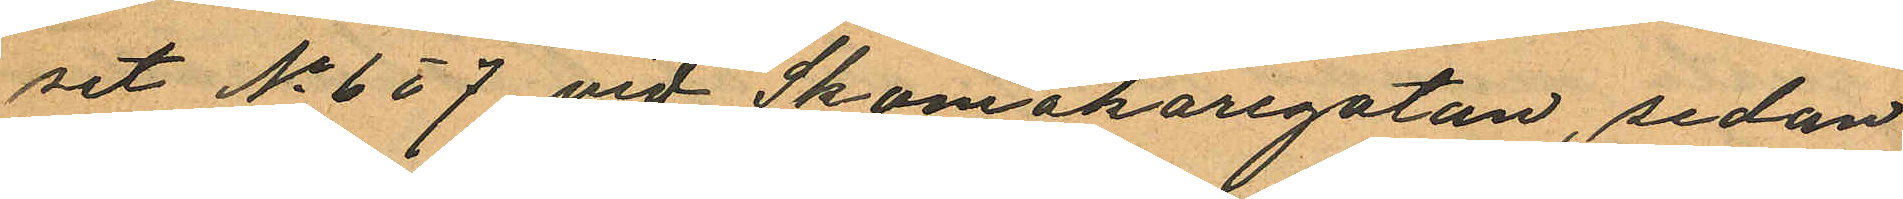set No 6 o 7 vid Skomakaregatan, sedan
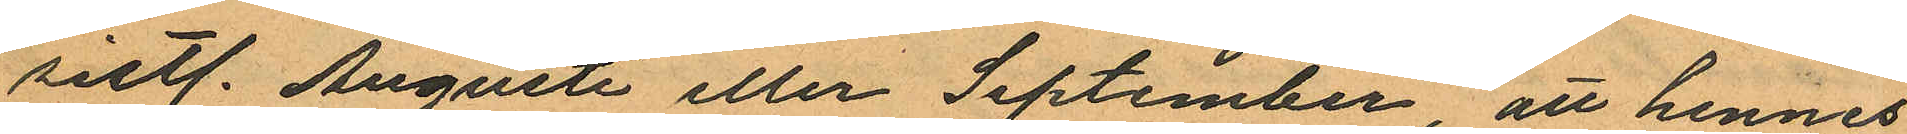sistl. Augusti eller September, att hennes
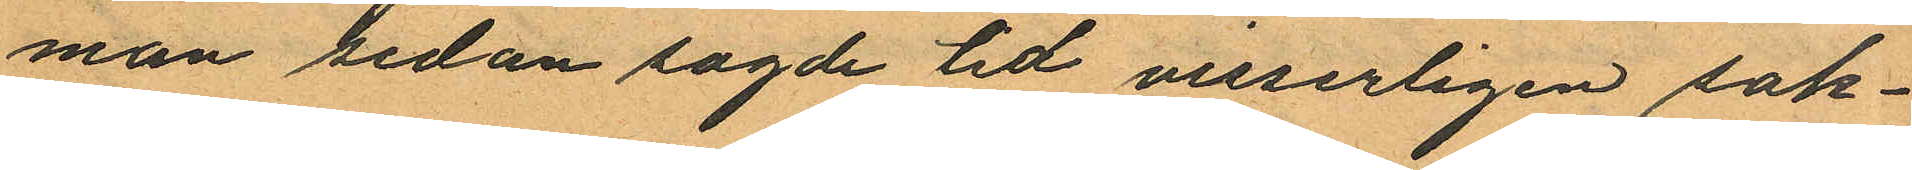man sedan sagde tid visserligen sak¬
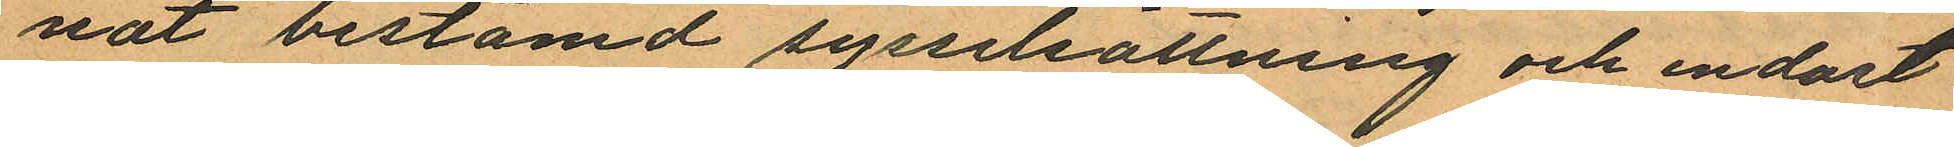nat bestämd syssilsättning och endast
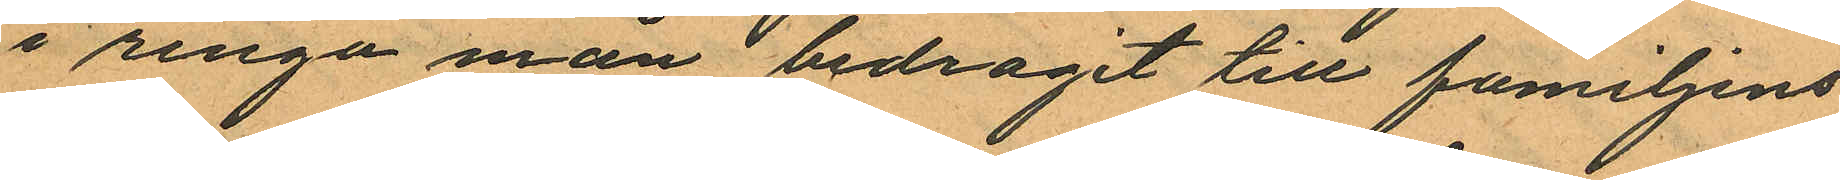i ringa mån bedragit till familjens
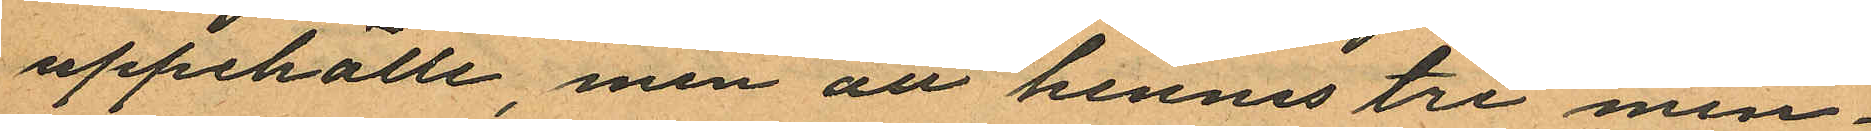uppehälle, men att hennes tre min¬
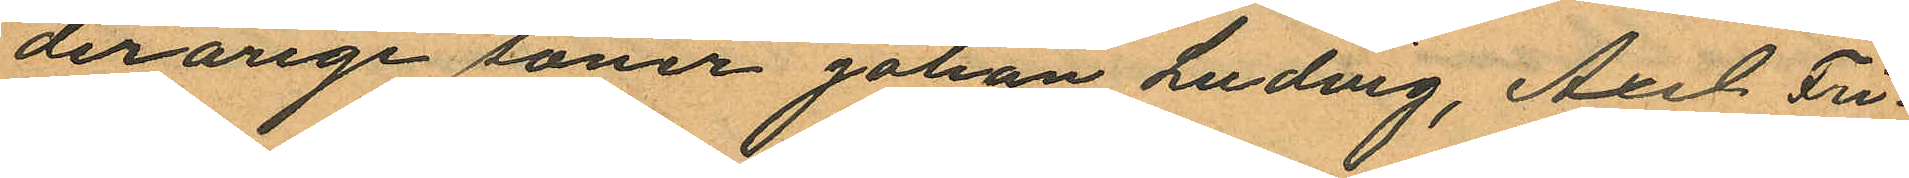derårige söner Johan Ludvig, Axel Fri¬
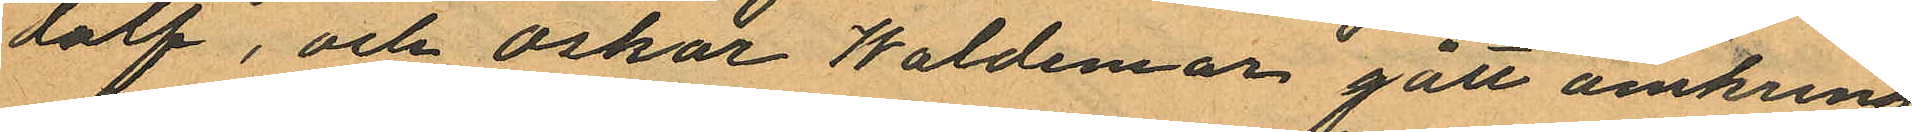dolf, och Oskar Waldemar gått omkring
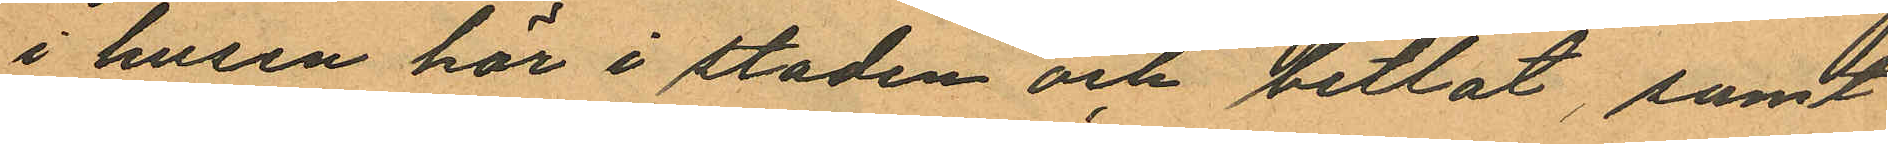i husen här i staden och betlat, samt
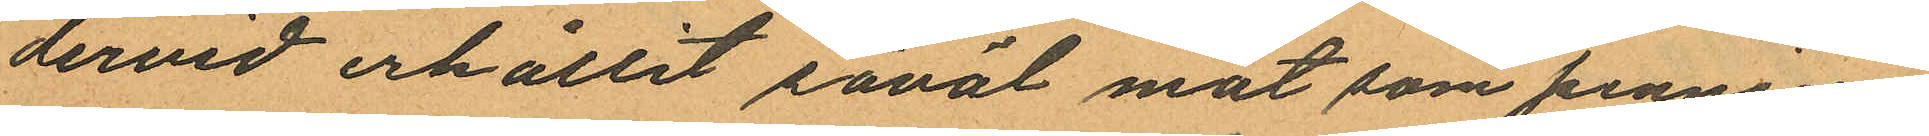dervid erhållit såväl mat som pennin¬
